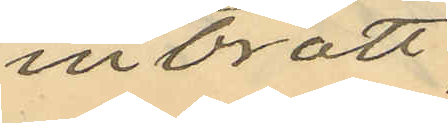inbrott
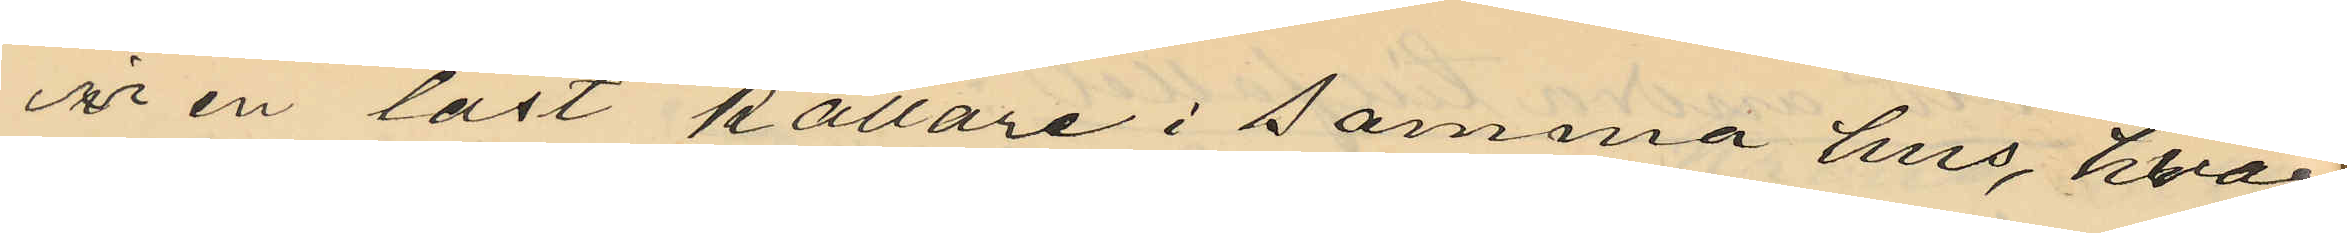ur en låst källare i samma hus, hvar¬
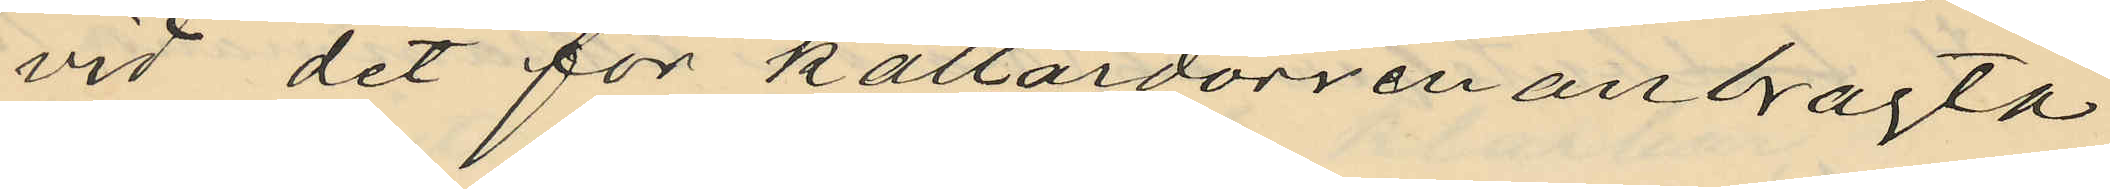vid det för källardörren anbragta
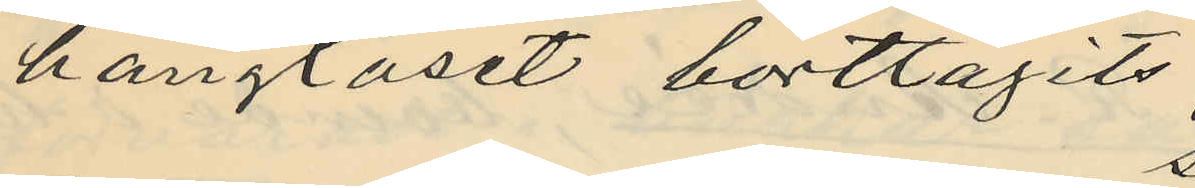hänglåset borttagits;
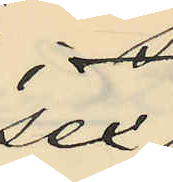sex
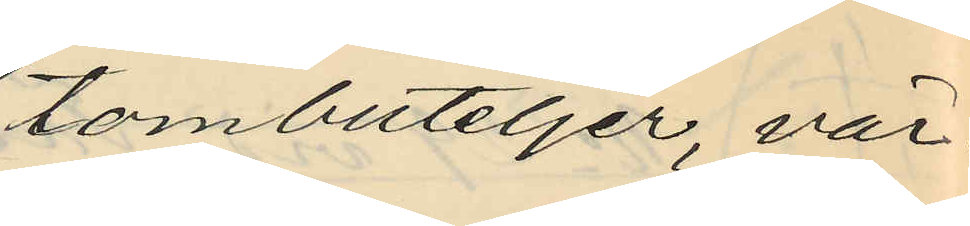tombuteljer, vär¬
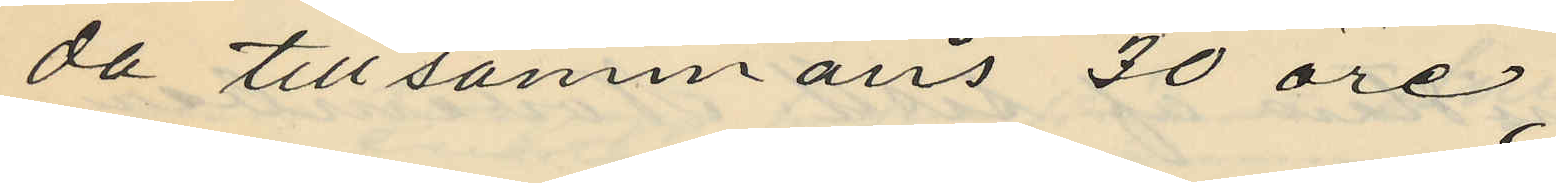da tillsammans 30 öre;
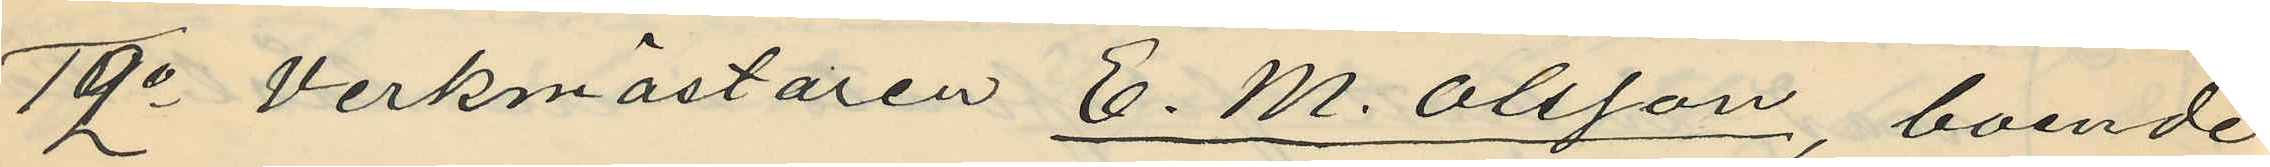12o Verkmästaren E. M. Olsson, boende
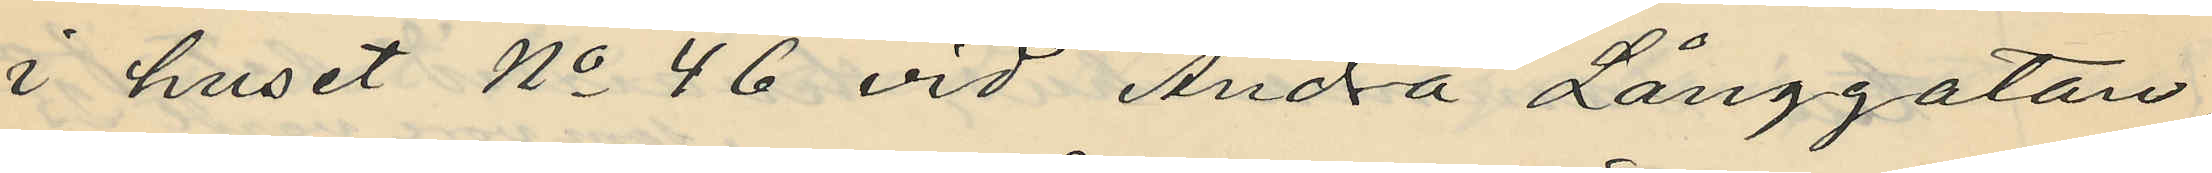i huset No 46 vid Andra Långgatan
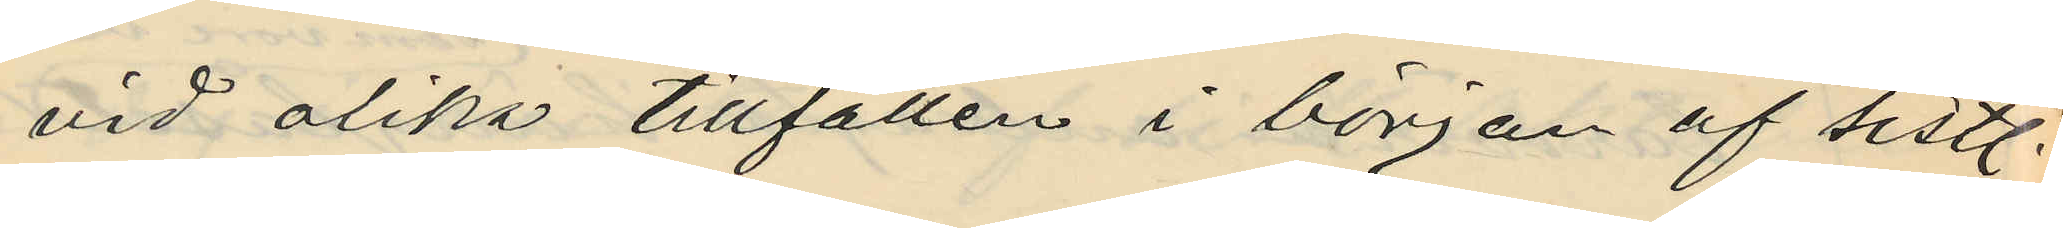vid olika tillfällen i början af sistl.
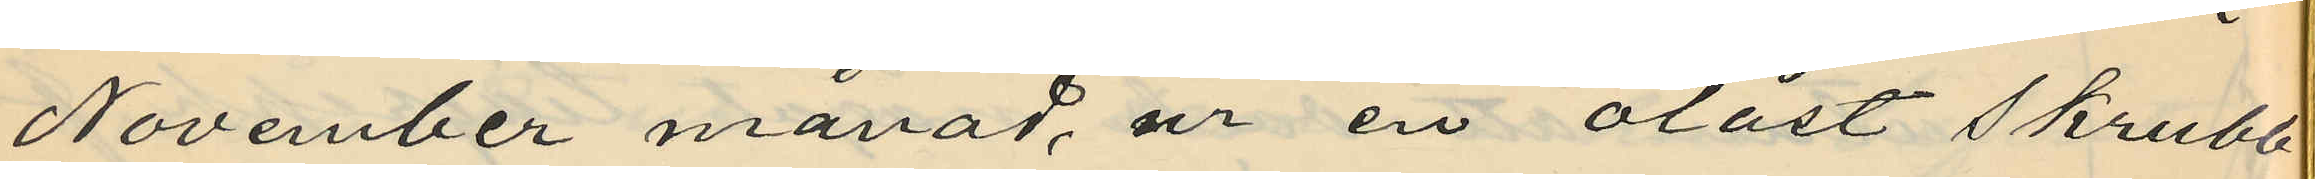November månad, ur en olåst skrubb
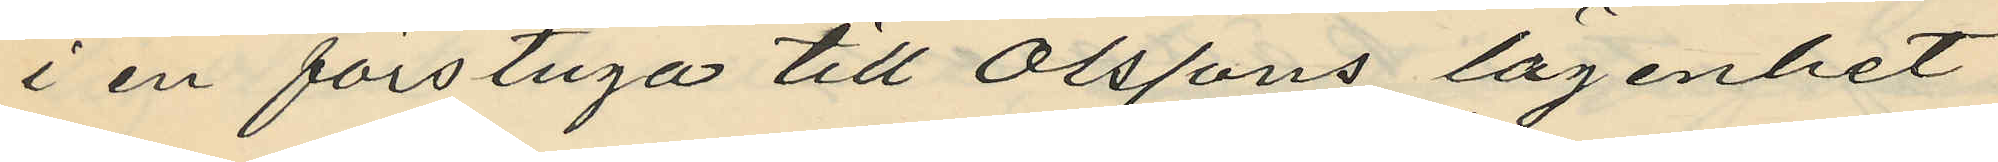i en förstuga till Olssons lägenhet
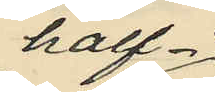half¬
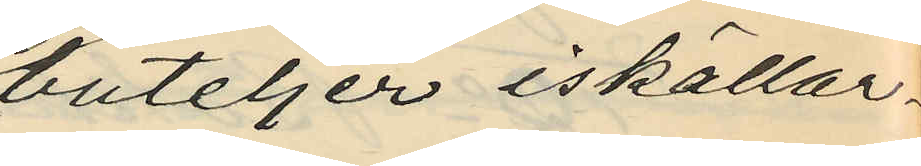buteljer iskällar¬
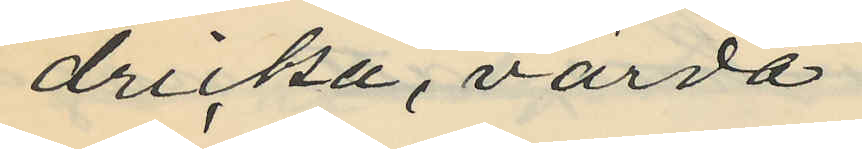dricka, värda
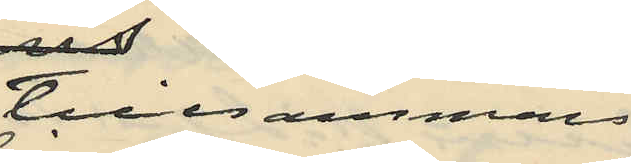tillsammans
